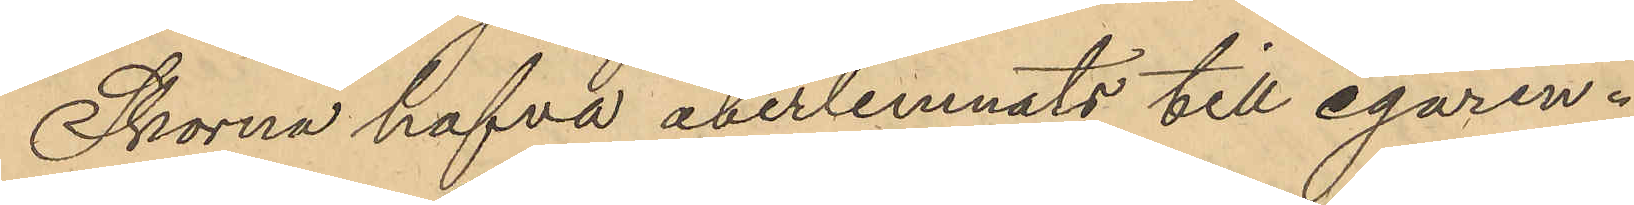Skorna hafva återlemnats till egaren.
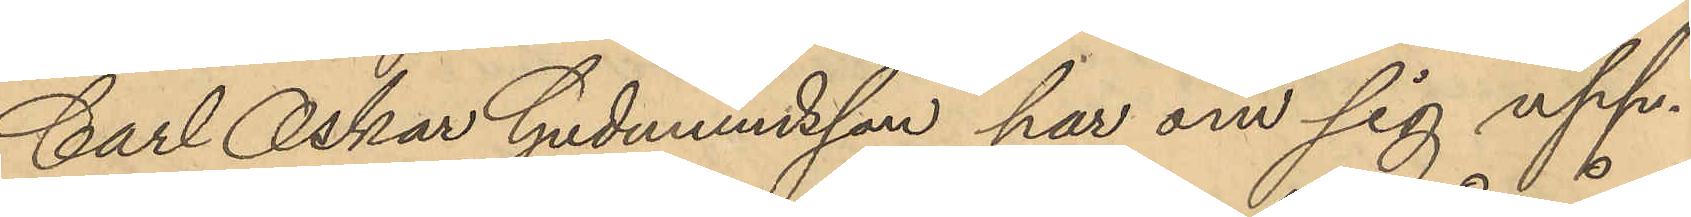Carl Oskar Gudmundsson har om sig upp¬
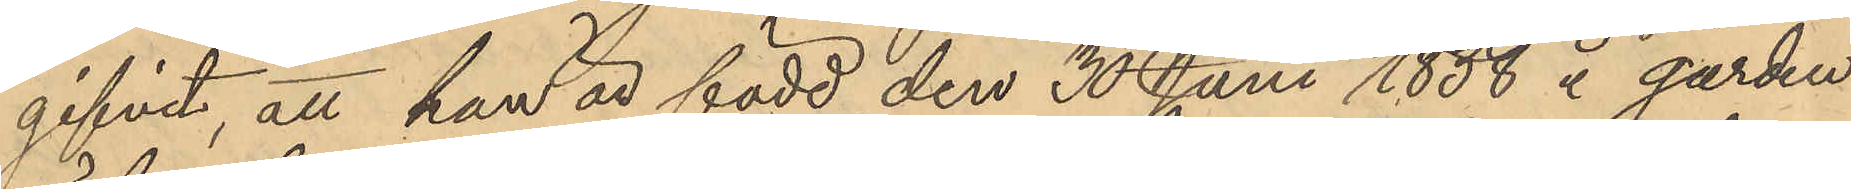gifvit, att han är född den 30 Juni 1838 å gården
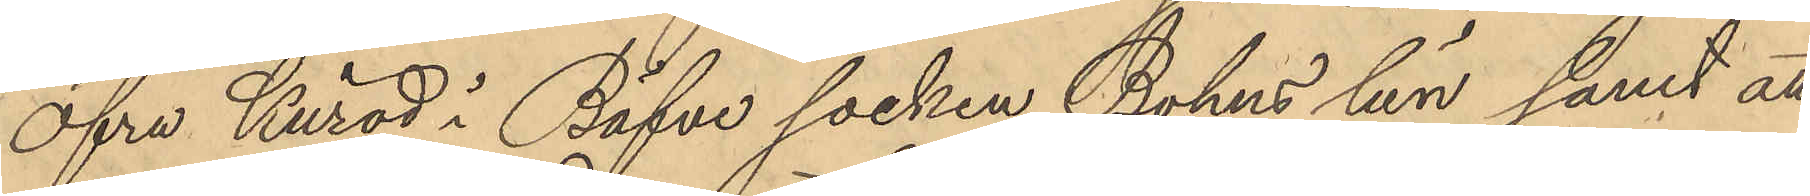Öfra Kuröd i Bäfve socken Bohus län samt at
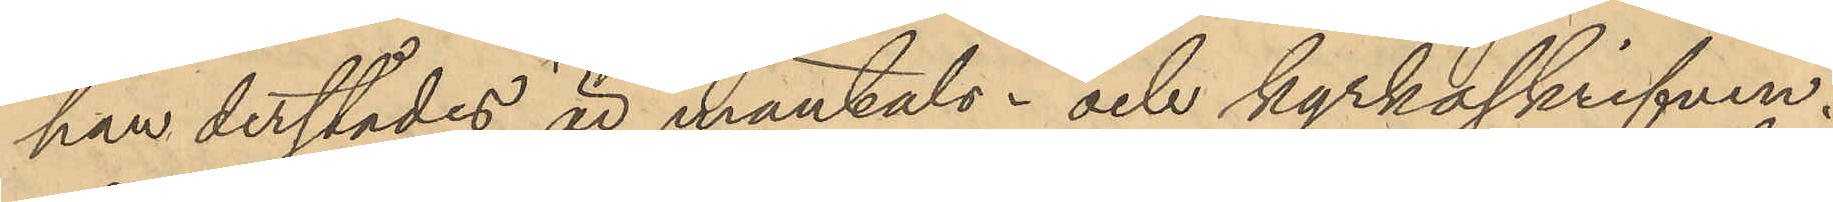han derstädes är mantals- och kyrkoskrifven.
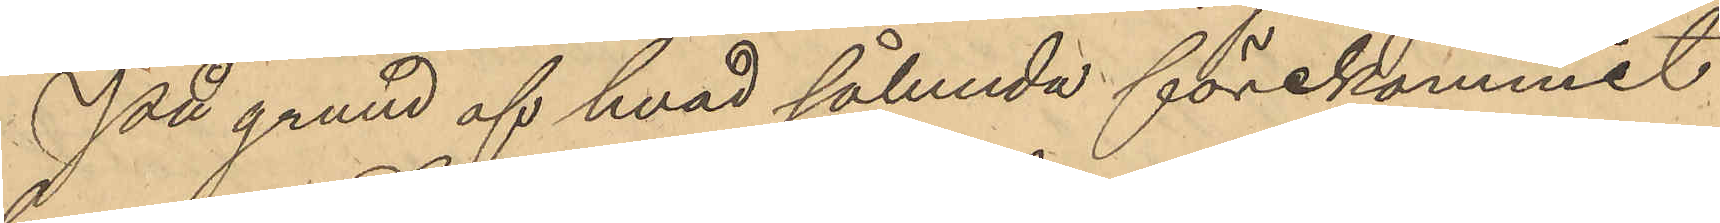På grund af hvad sålunda förekommit
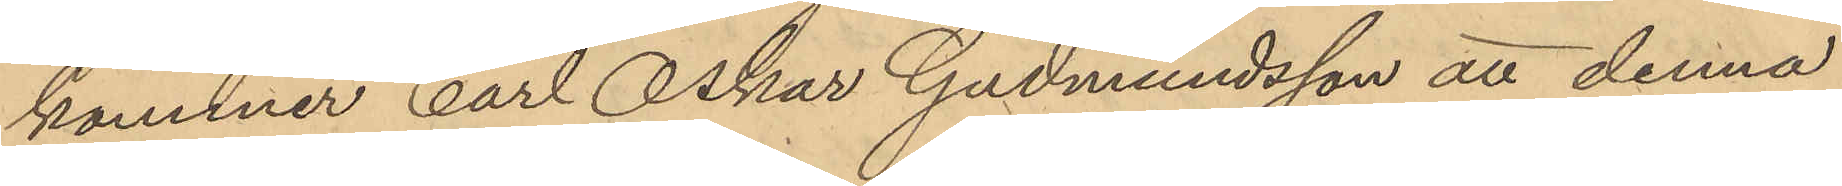kommer Carl Oskar Gudmundsson att denna
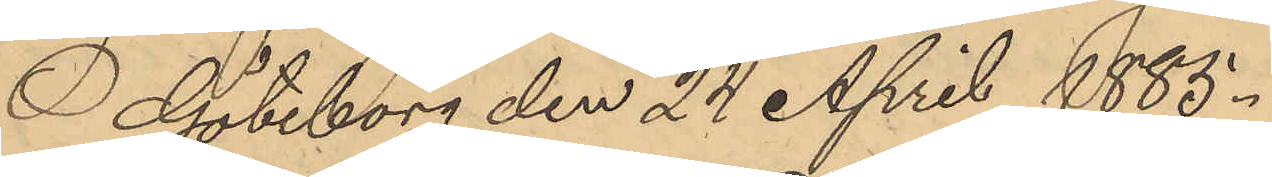Göteborg den 24 April 1885.
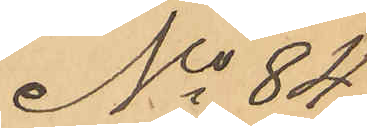No 84
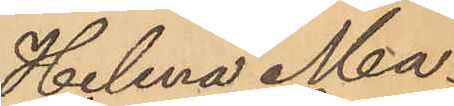Helena Ma¬
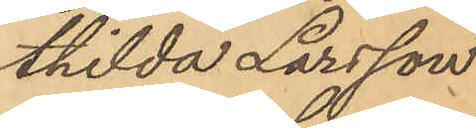thilda Larsson
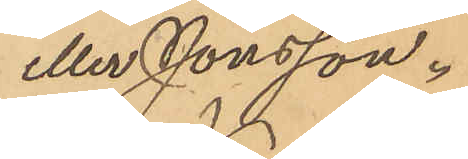eller Jonsson.
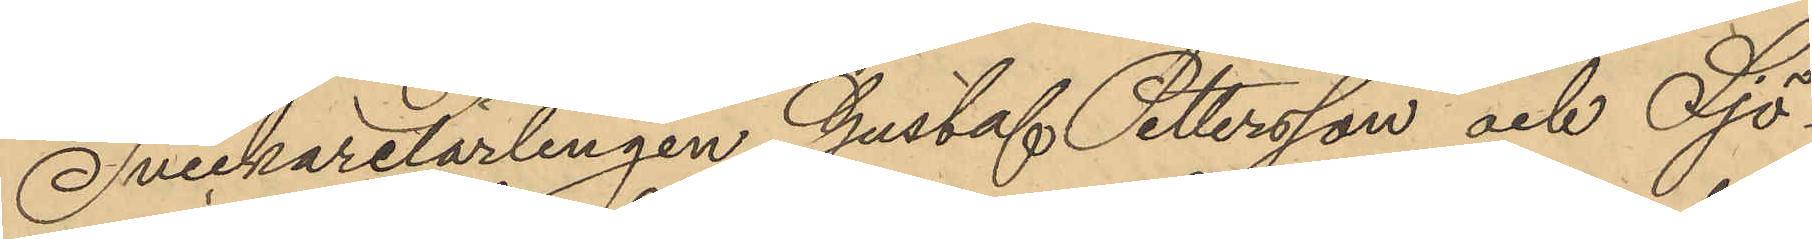Snickarelärlingen Gustaf Pettersson och Sjö¬
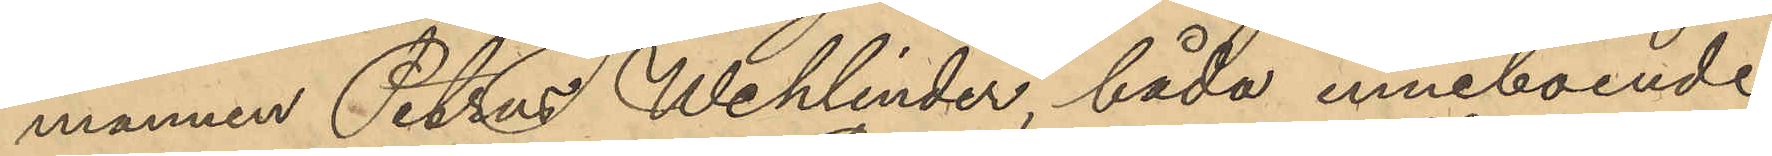mannen Petrus Wehlinder, båda inneboende
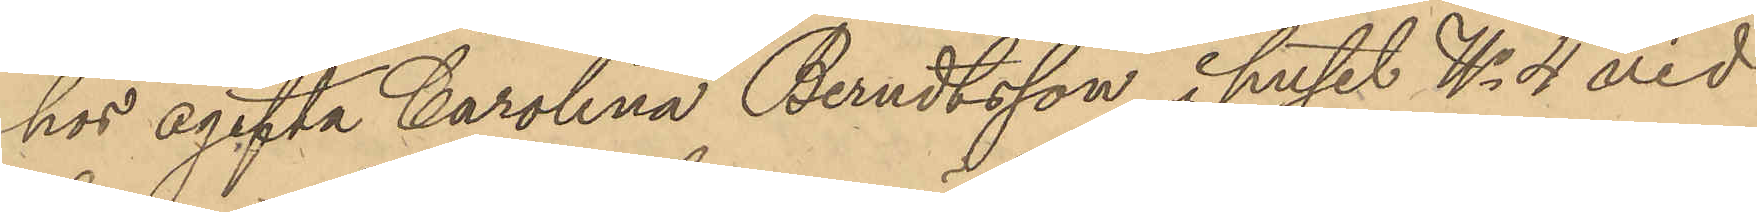hos ogifta Carolina Berndtsson i huset No 4 vid
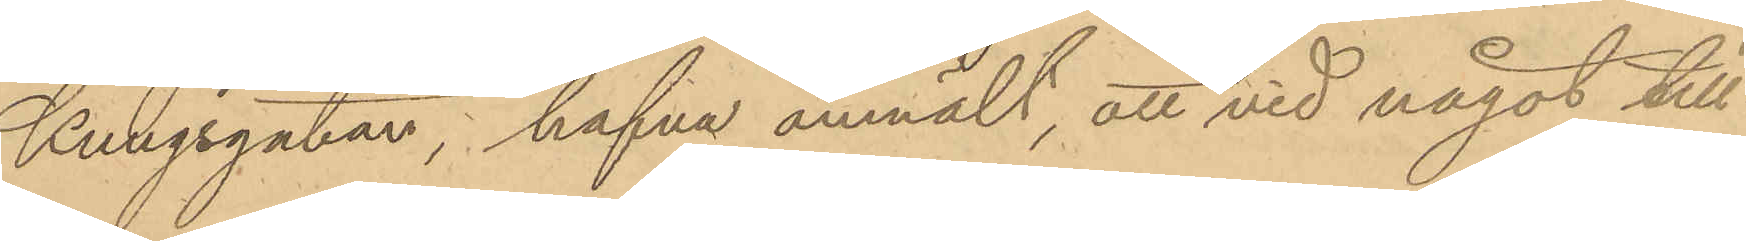Kungsgatan, hafva anmält, att vid något till¬
